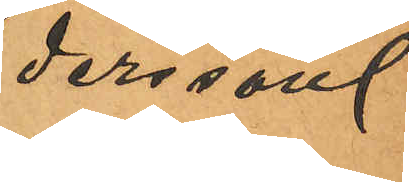dersson.
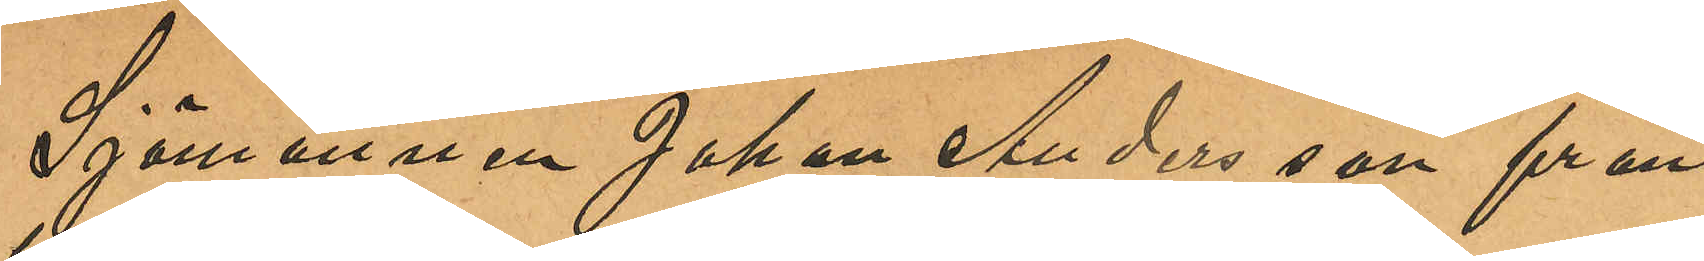Sjömannen Johan Andersson från
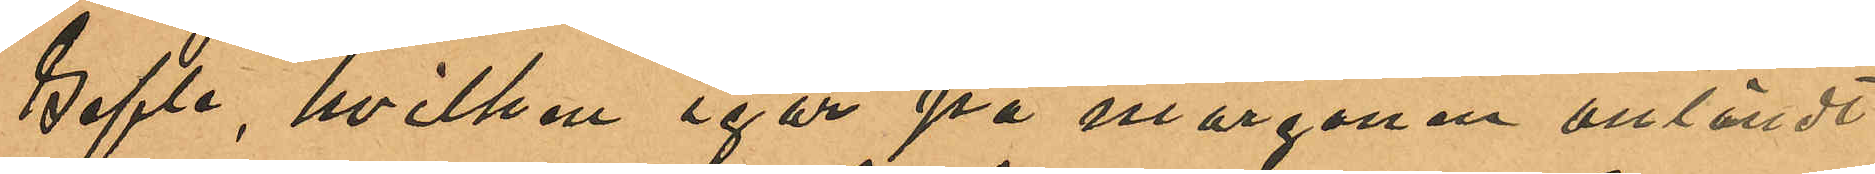Gefle, hvilken igår på morgonen anländt
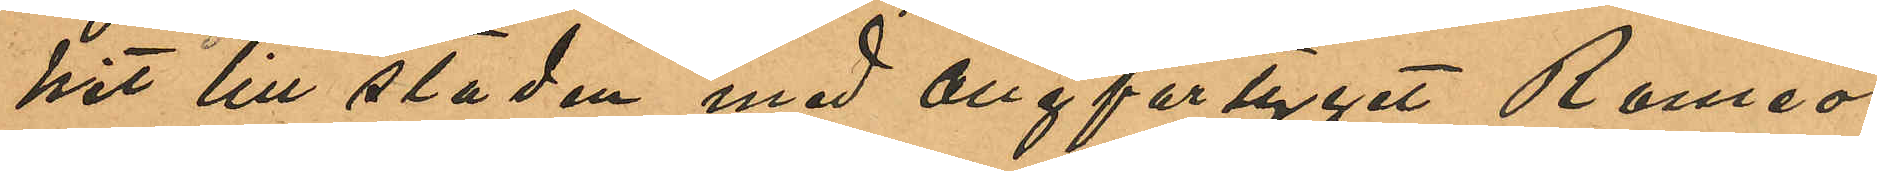hit till staden med ångfartyget Romeo
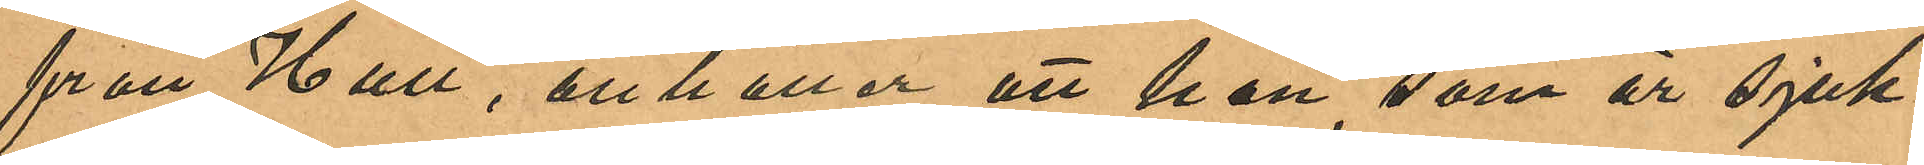från Hull, anhåller att han, som är sjuk¬
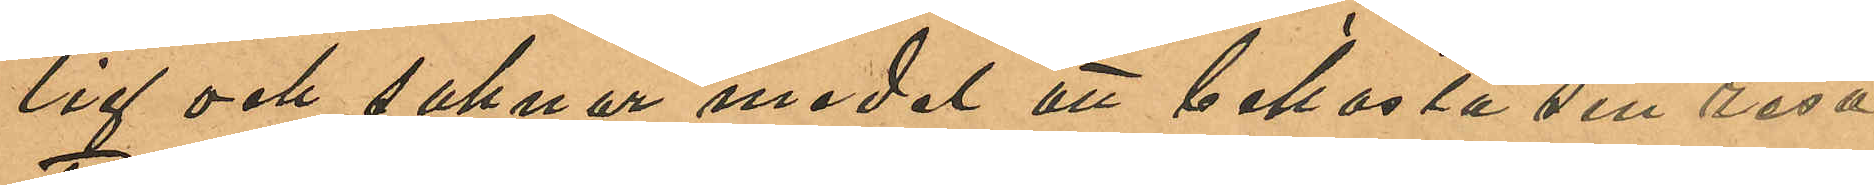lig och saknar medel att bekosta sin resa
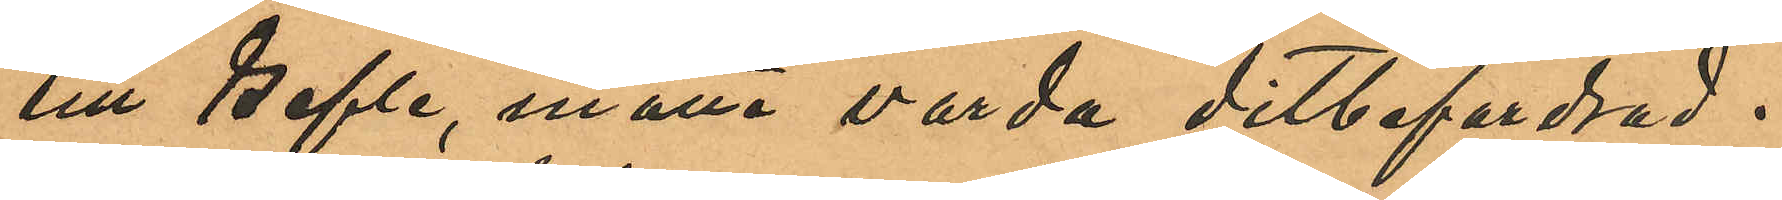till Gefle, måtta varda ditbefordrad.
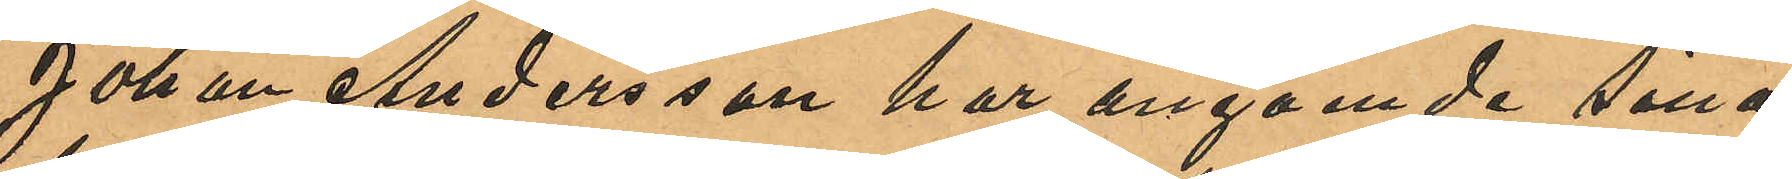Johan Andersson har angående sina
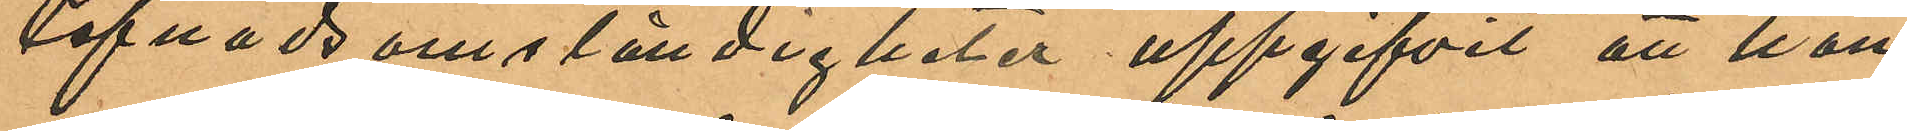lefnadsomständigheter uppgifvit att han
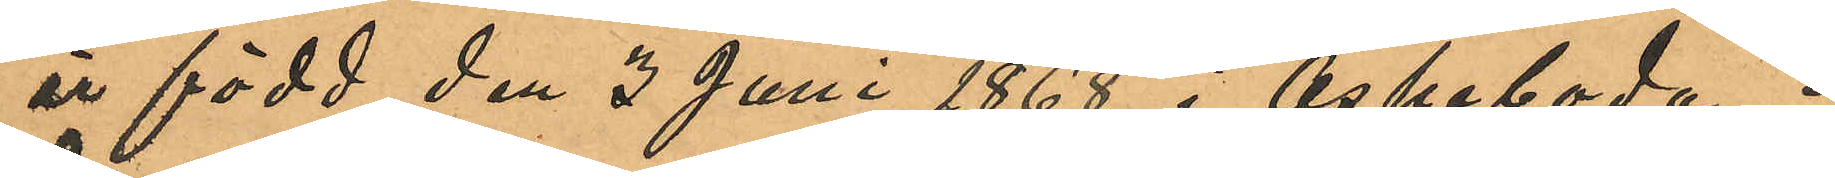är född den 3 Juni 1868 i Aspeboda i
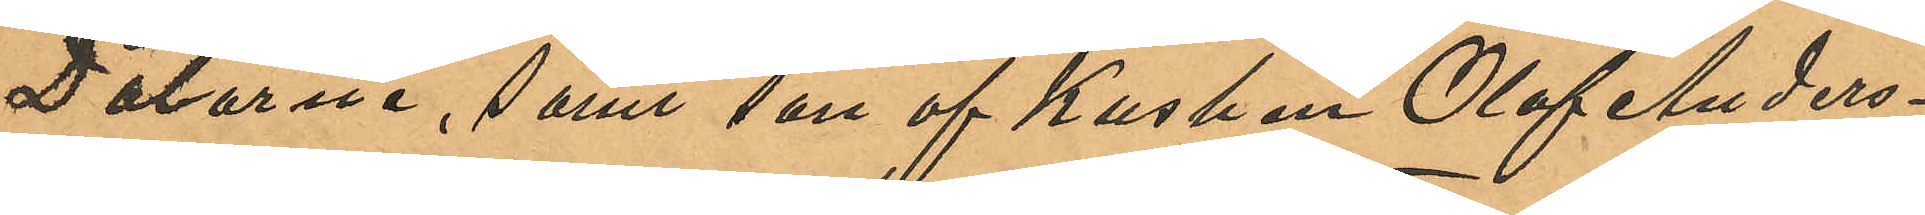Dalarna, samt son af Kusken Olof Anders¬
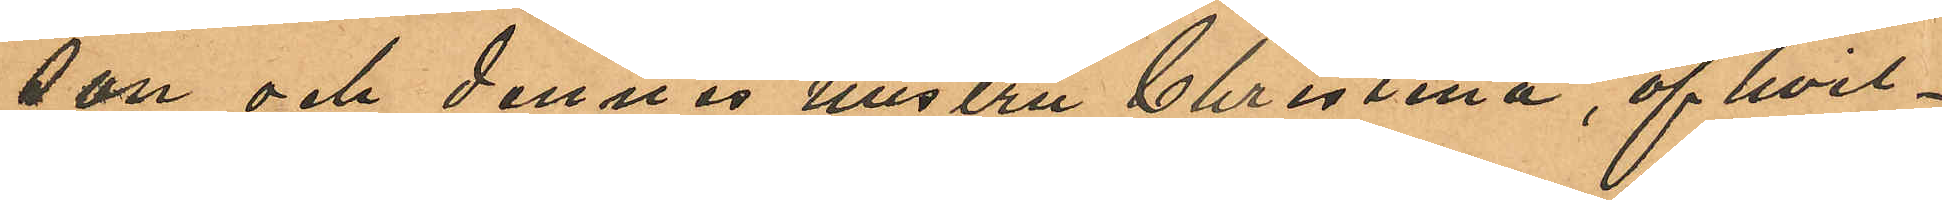son och dennes hustru Christina, af hvil¬
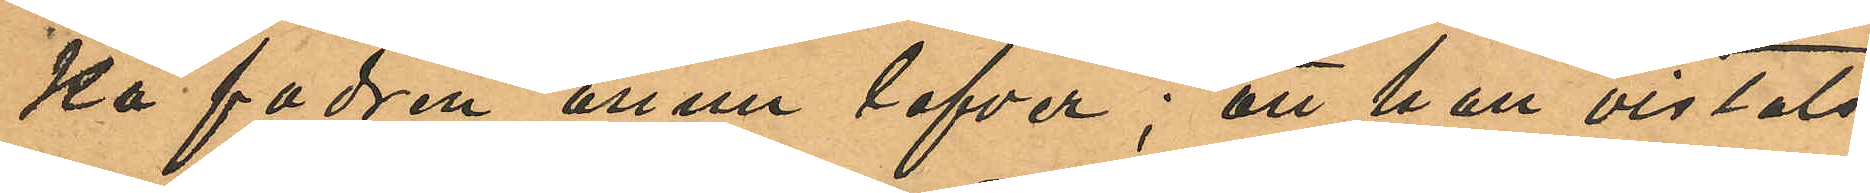på fadren ännu lefver; att han vistats
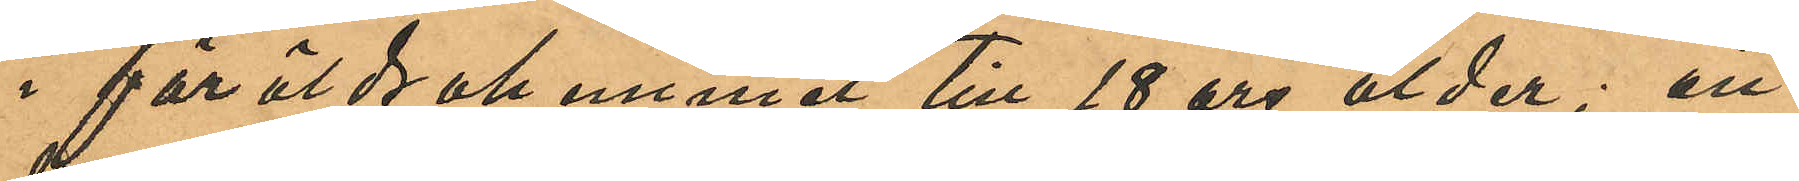i föräldrahemmet till 18 års ålder; att
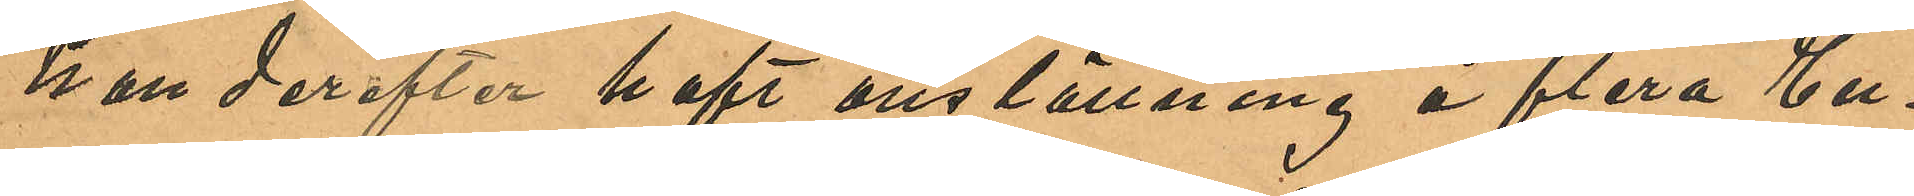han derefter haft anställning å flera En¬
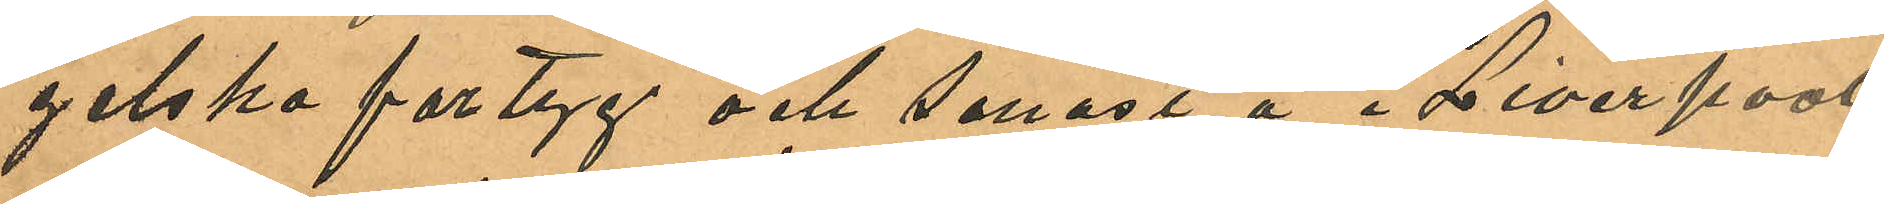gelska fartyg och senast å i Liverpool
